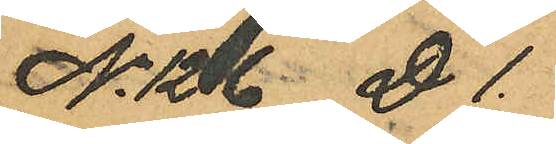No 126 D 1.
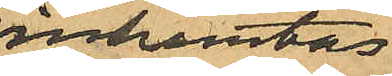inhemtas
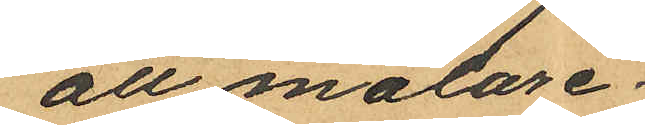att målare¬
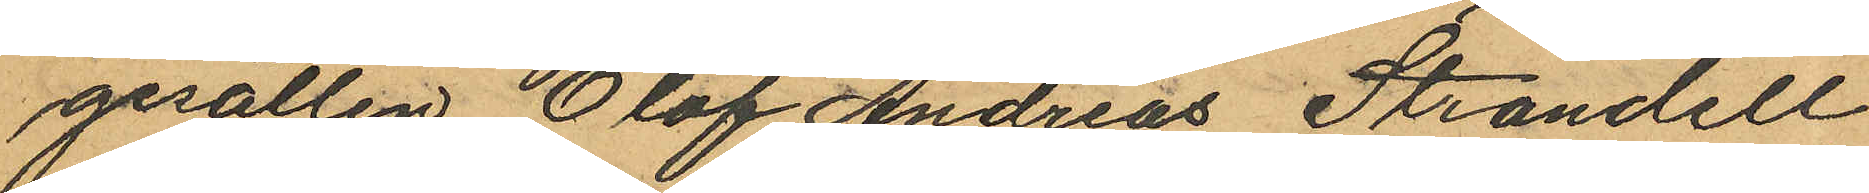gesällen Olof Andreas Strandell
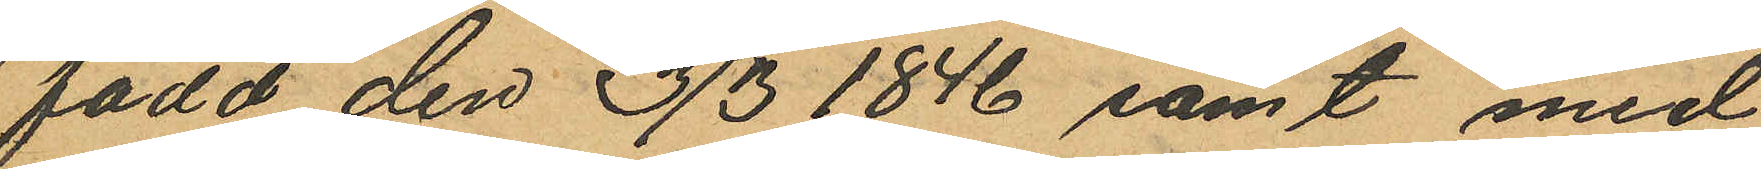född den 3/3 1846 samt med
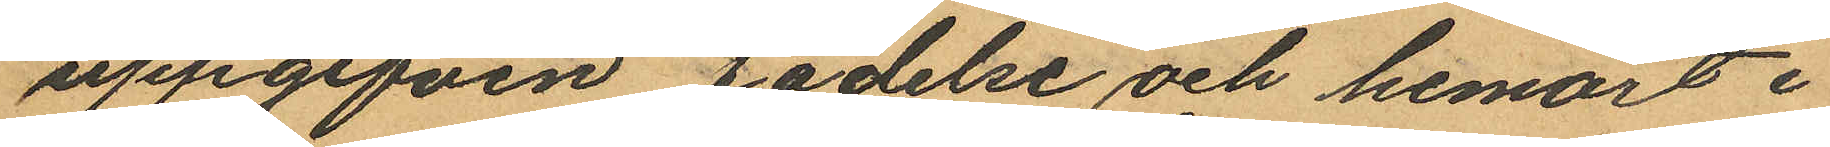uppgifven födelse och hemort i
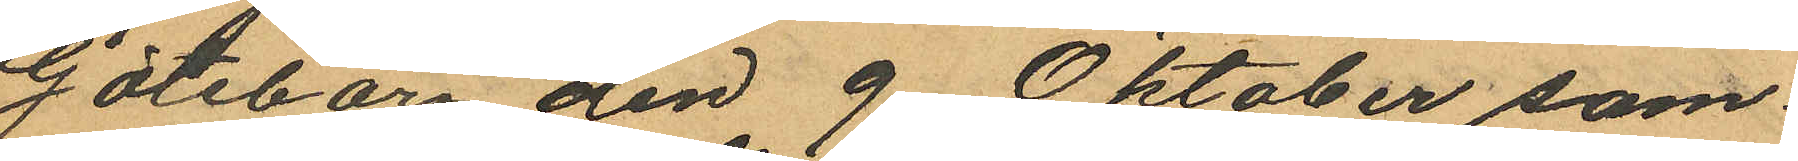Göteborg den 9 Oktober sam¬
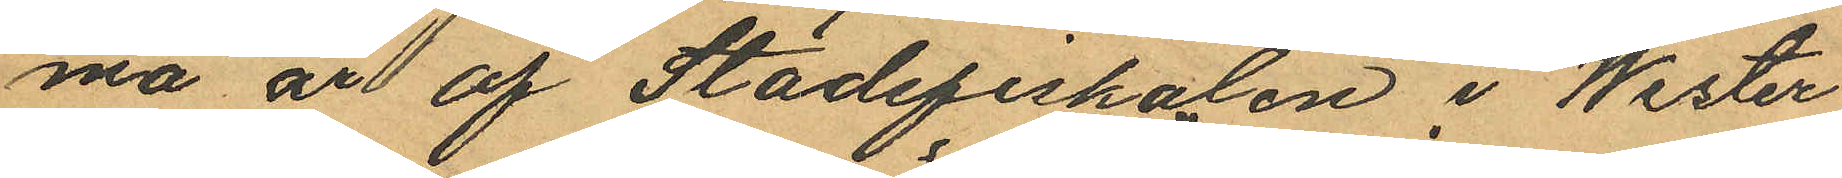ma år af Stadsfiskalen i Wester
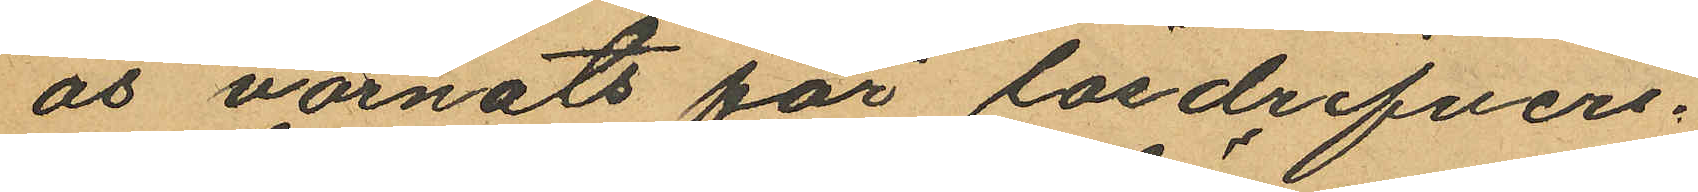ås varnats för lösdrifveri.
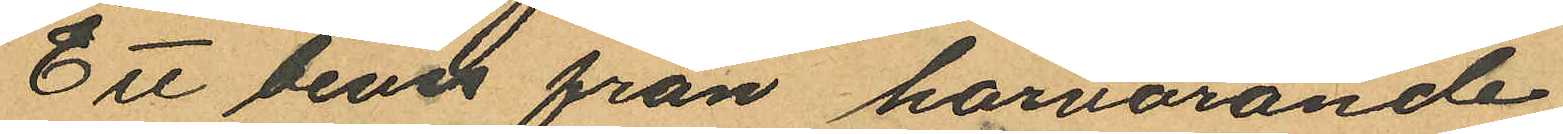Ett bevis från härvarande
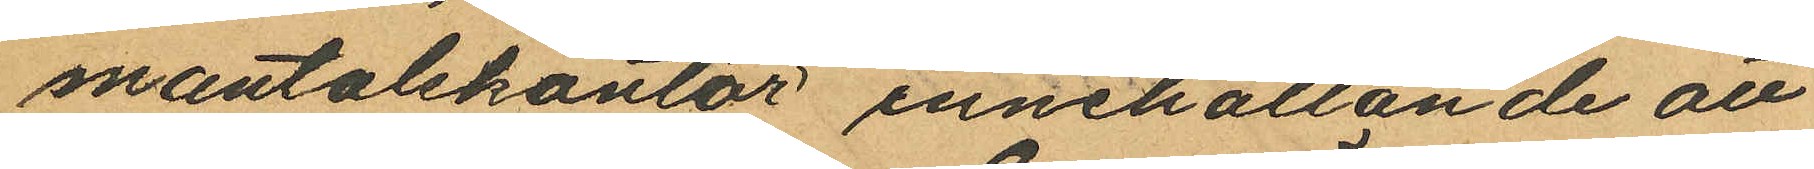mantalskontor, innehållande att
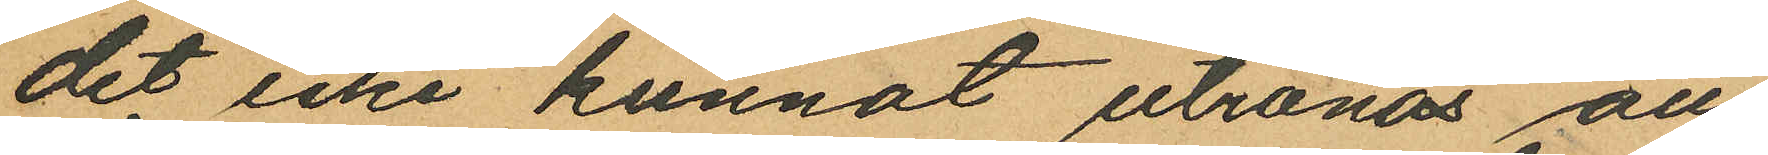det icke kunnat utrönas att
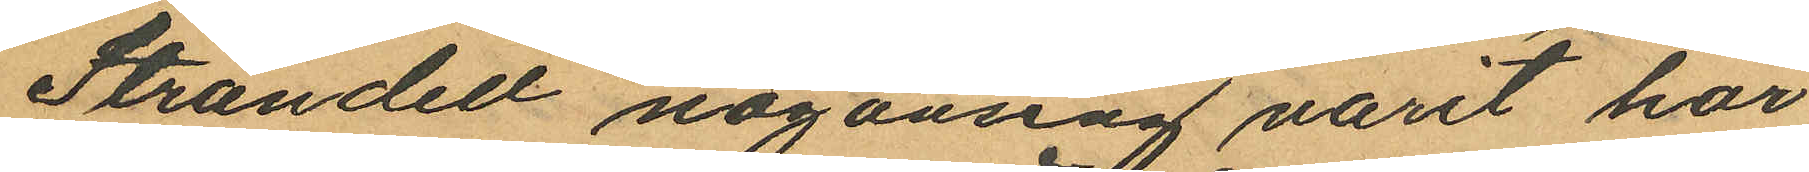Strandell någonsing varit här
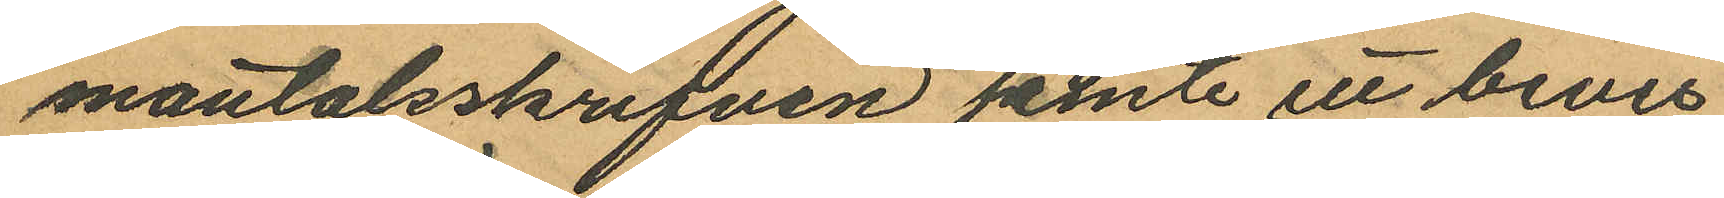mantalsskrifven jemte ett bevis
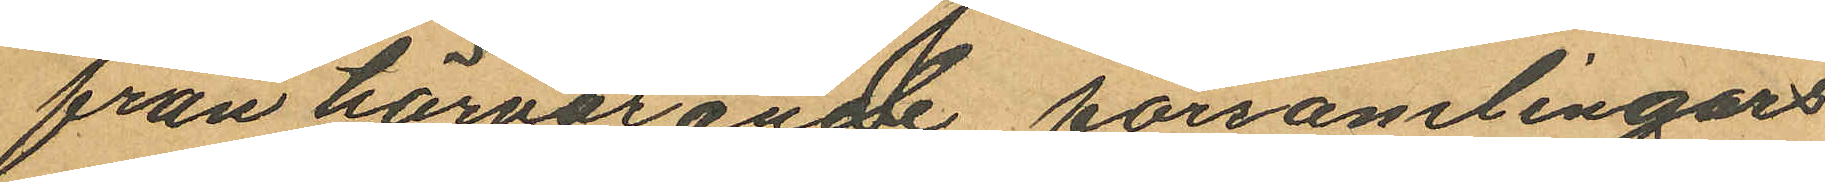från härvarande församlingars
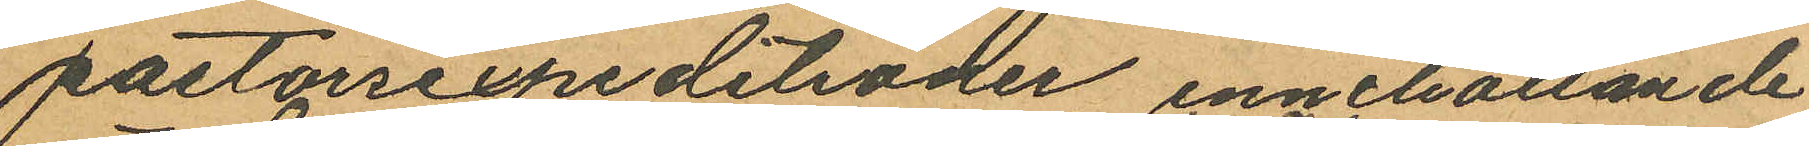pastorsexpeditioner innehållande
